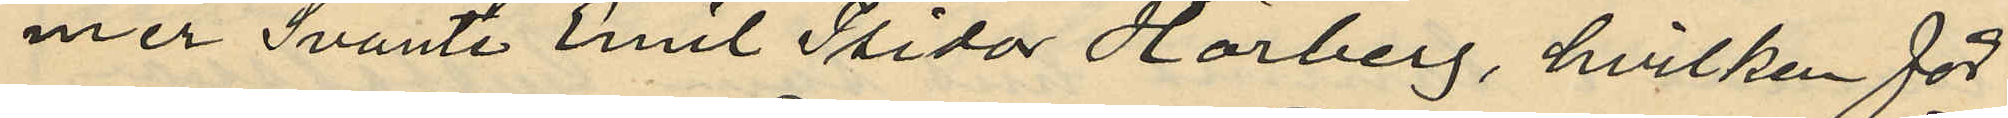mer Svante Emil Isidor Hörberg, hvilken för¬
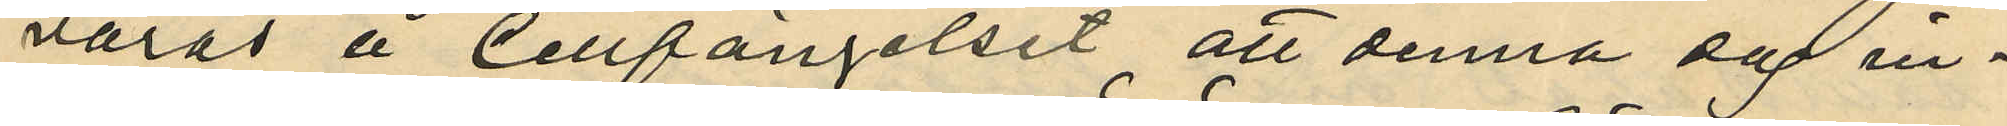varas å Cellfängelset, att denna dag in¬
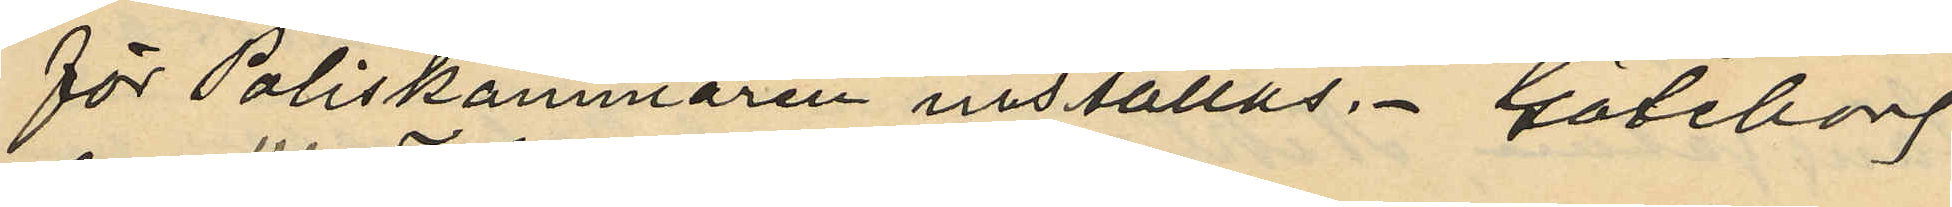för Poliskammaren inställas. Göteborg
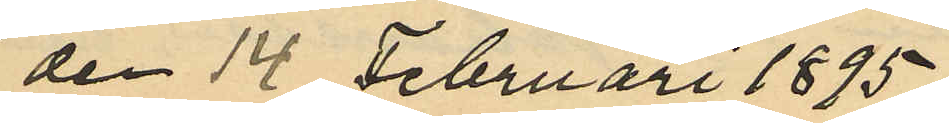den 14 Februari 1895.
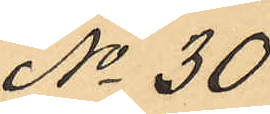No 30
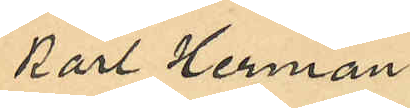Karl Herman
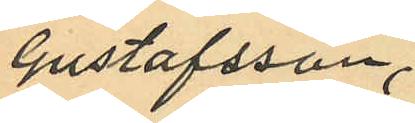Gustafsson,
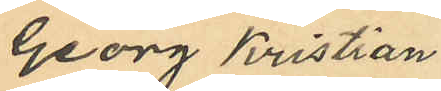Georg Kristian
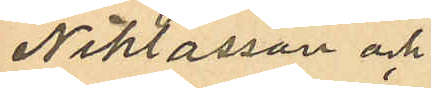Niklasson och
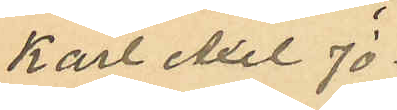Karl Axel Jo¬
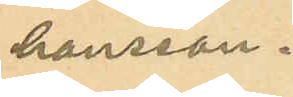hansson.
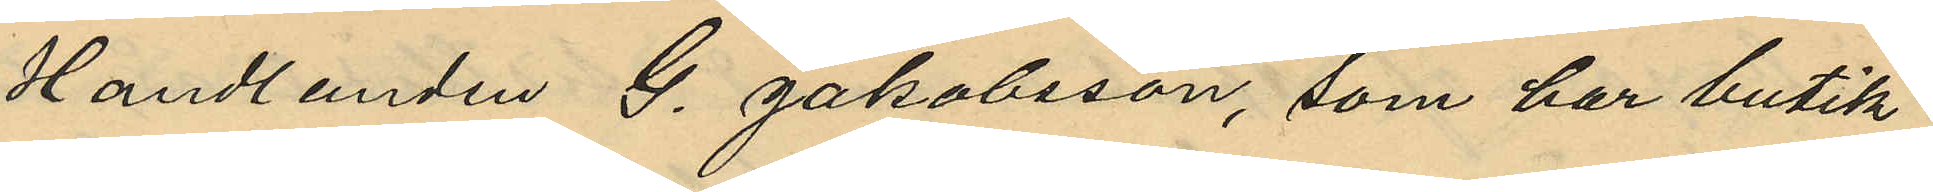Handlanden G. Jakobsson, som har butik
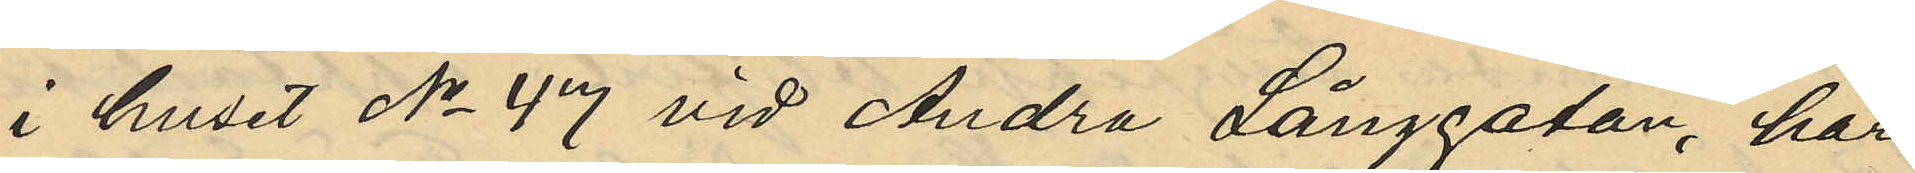i huset No 47 vid Andra Långgatan, har
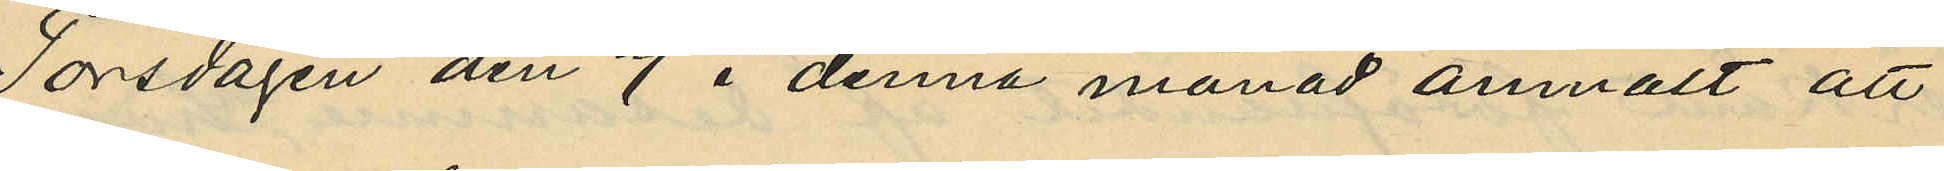Torsdagen den 7 i denna månad anmält att
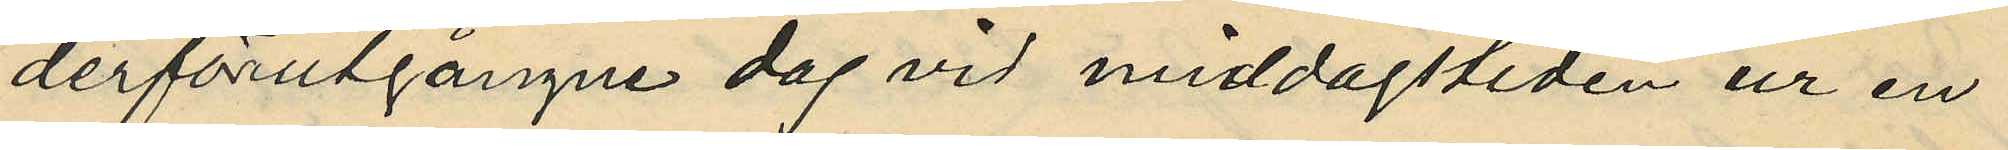derförutgångne dag vid middagstiden ur en
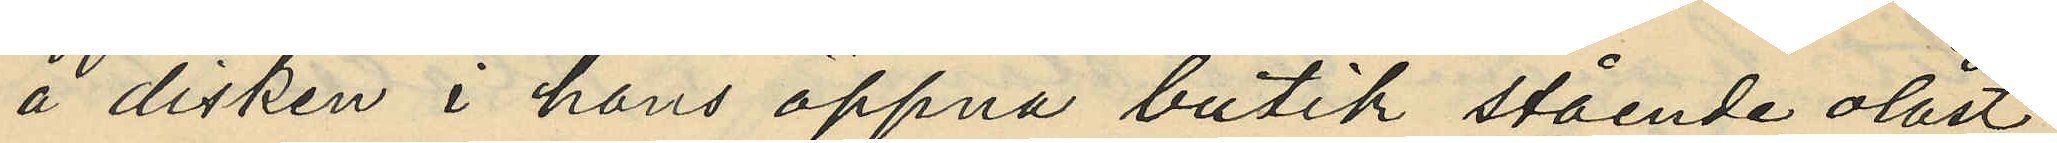å disken i hans öppna butik stående olåst
